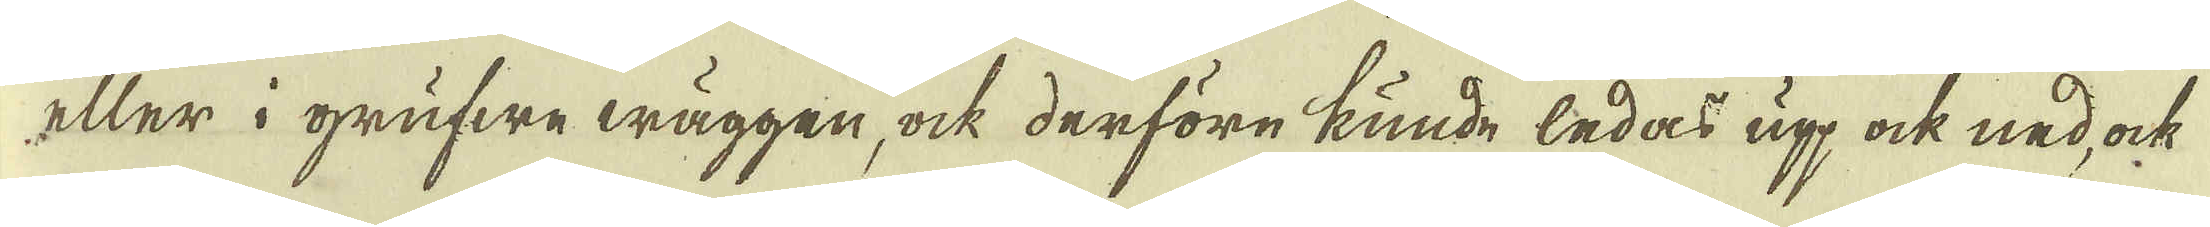eller i grufwe wäggen, ock derföre kunde ledas upp ock ned, ock
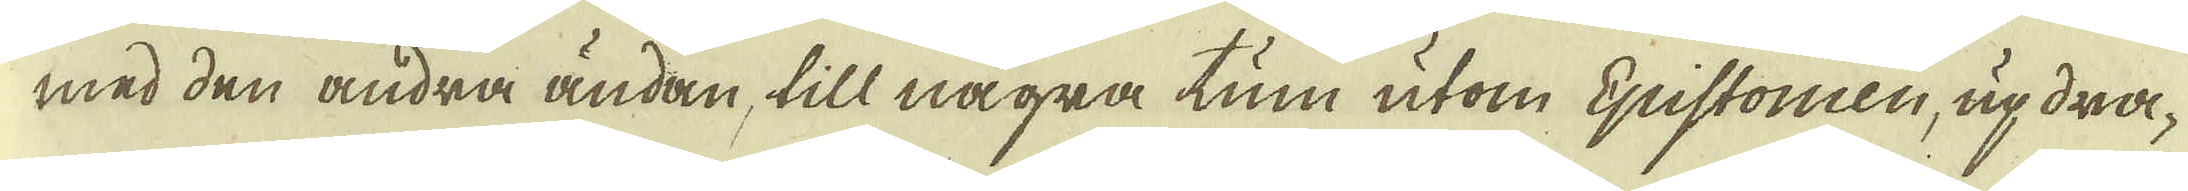med den andra ändan, till några tum utom Epistoncen, updra-
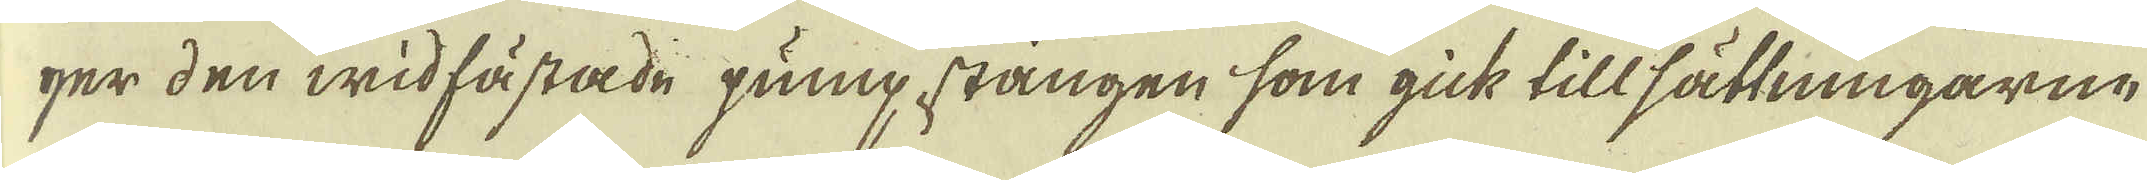ger den widfästade pump stången som gick tillsättningarne
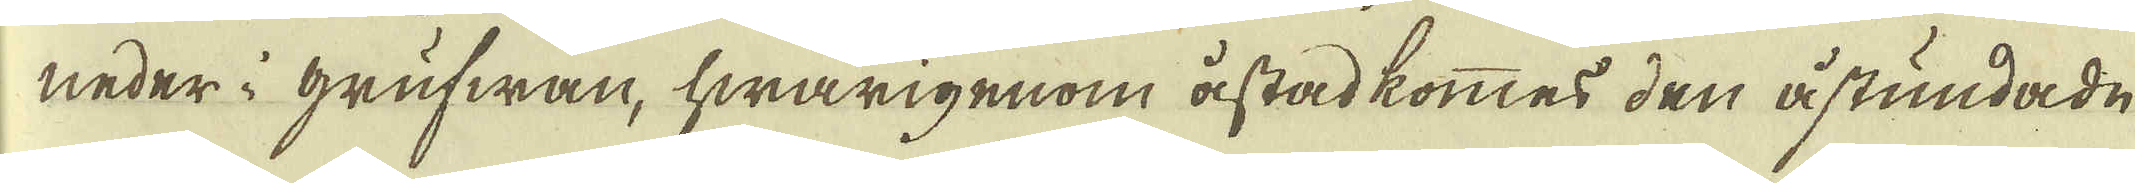neder i grufwan, hwarigenom åstadkommes den åstundade
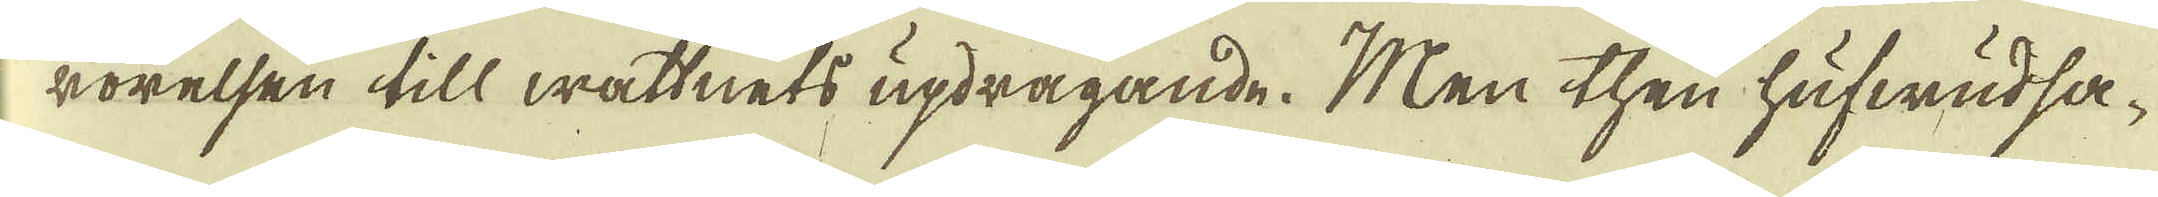rörelsen till wattnets updragande. Men then hufwudsa-
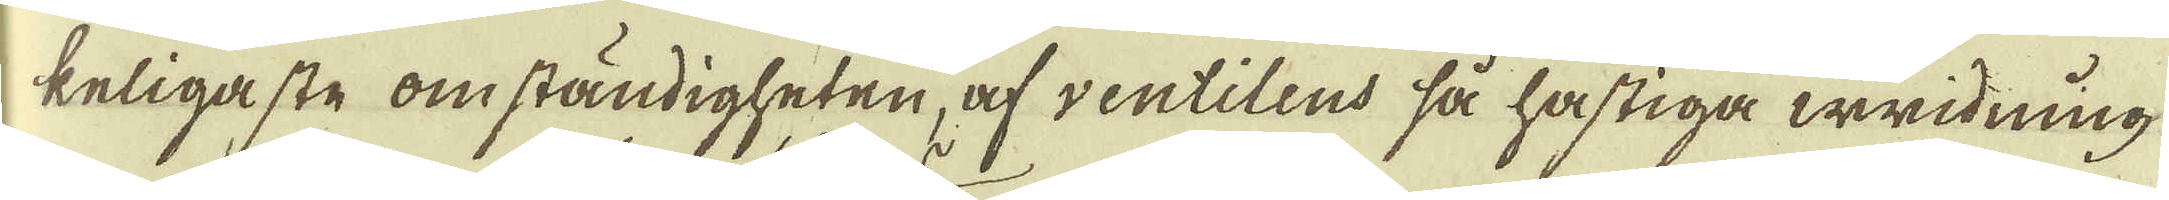keligaste omständigheten, af ventilens så hastiga wridning-
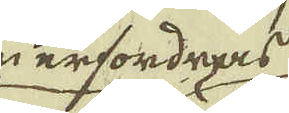som erfordras
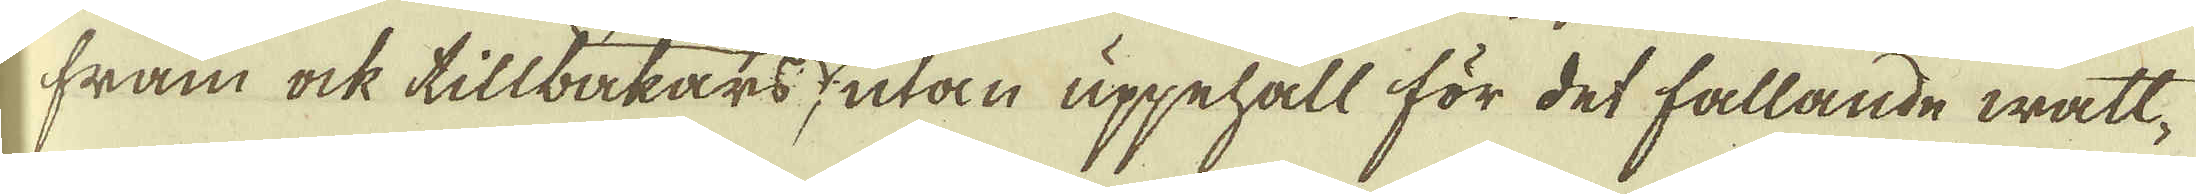fram ock tillbakars, utan uppehåll för det fallande watt-
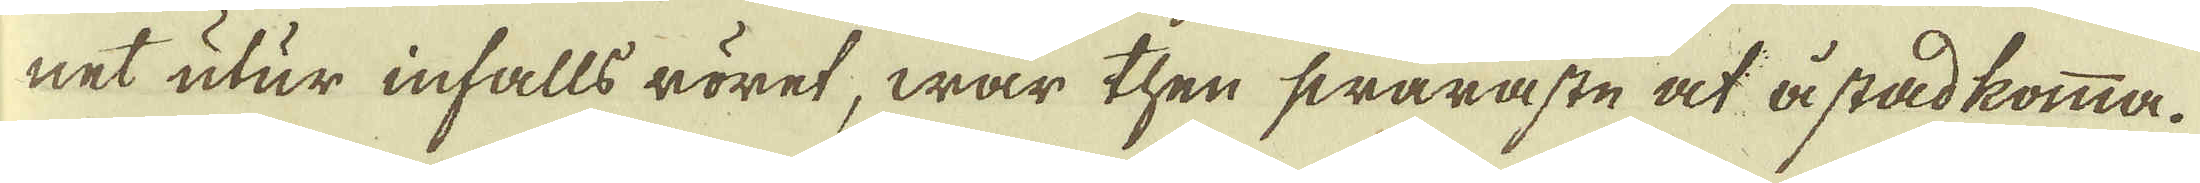net utur infalls röret, war then swaraste at åstadkomma.
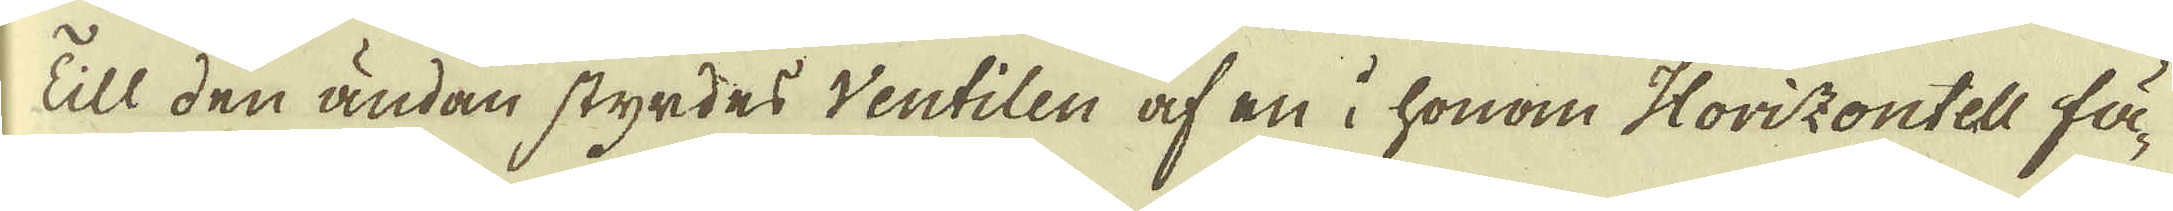Till den ändan styrdes ventilen af en i honom Horizontell fä-
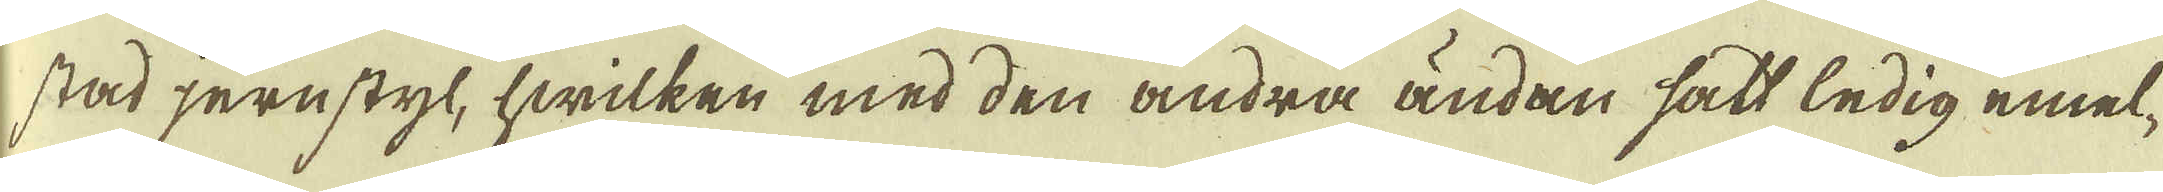stad jernstyl, hwilken med den andra ändan sätt ledig emel-
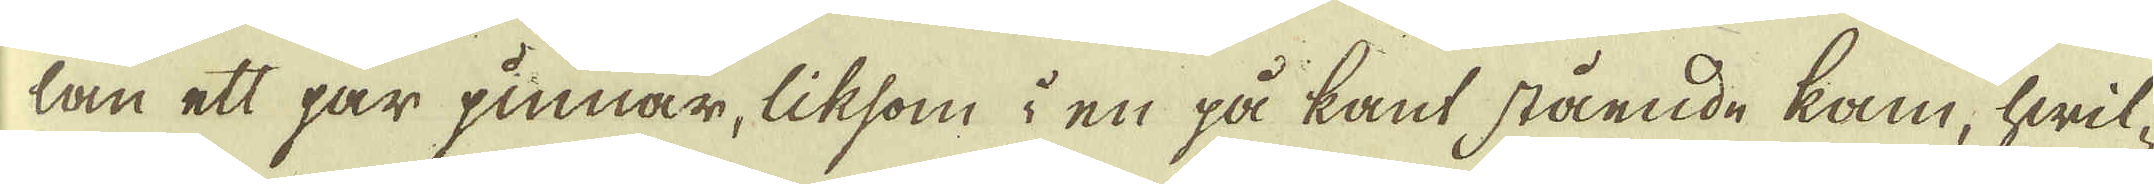lan ett par pinnar, liksom i en på kant stående kam, hwil-
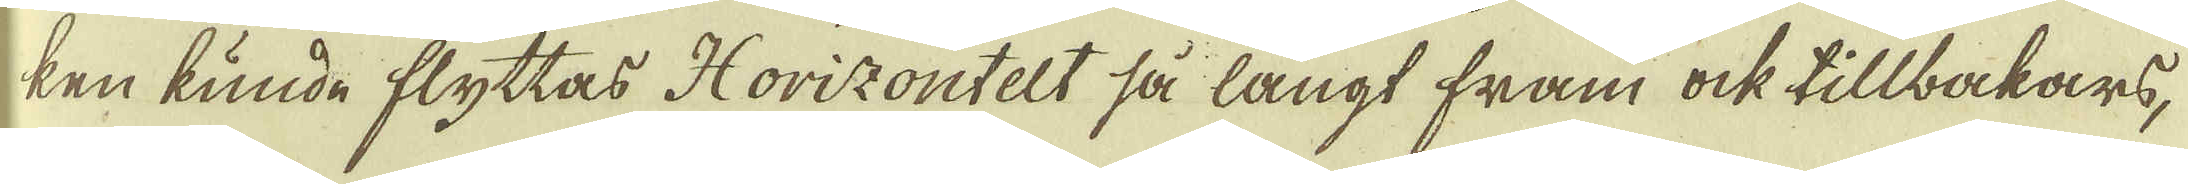ken kunde flyttas Horizontelt så långt fram ock tillbakars,
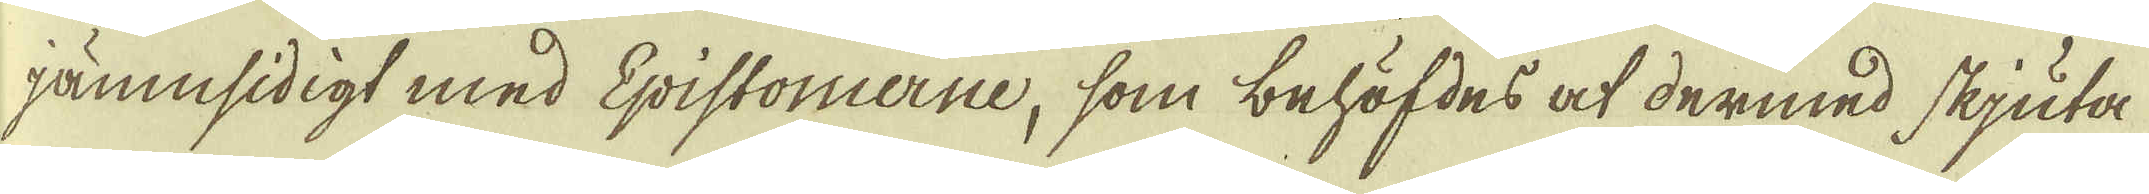jämnsidigt med Epistomerne, som behöfdes at dermed skjuta
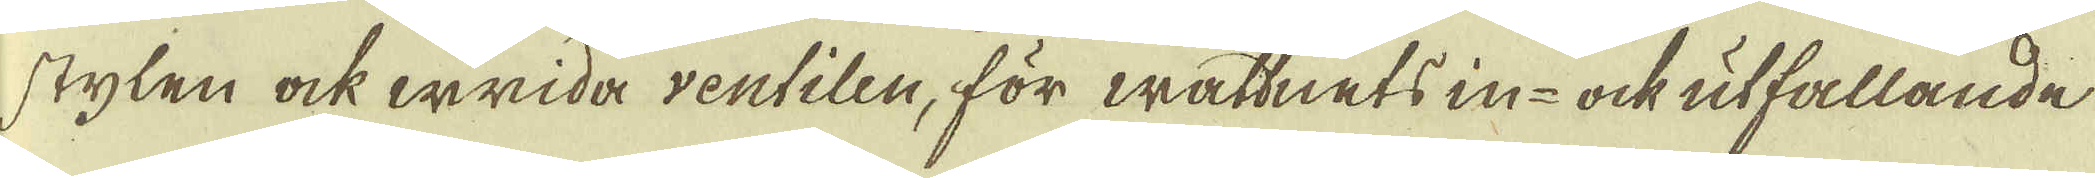stylen ock wrida ventilen, för wattnets in- ock utfallande
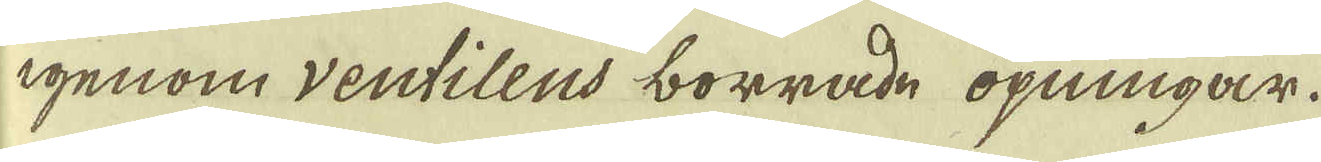igenom ventilens borrade öpningar.
